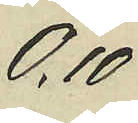0,10
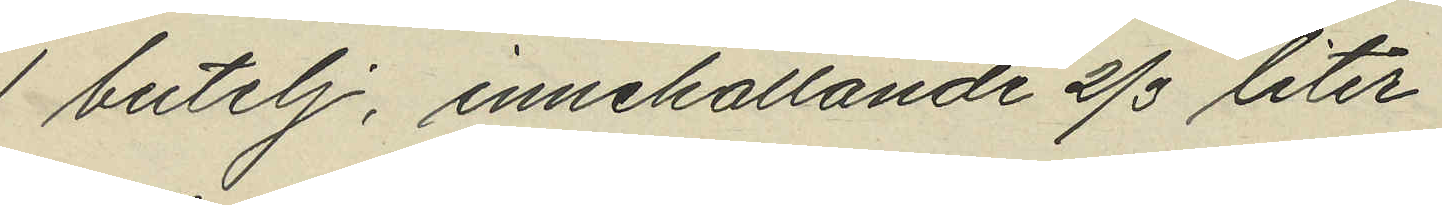1 butelj, innehållande 2/3 liter
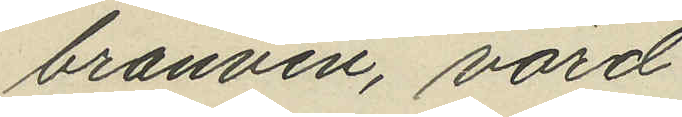bränvin, värd
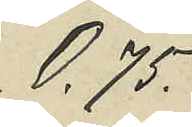0,75
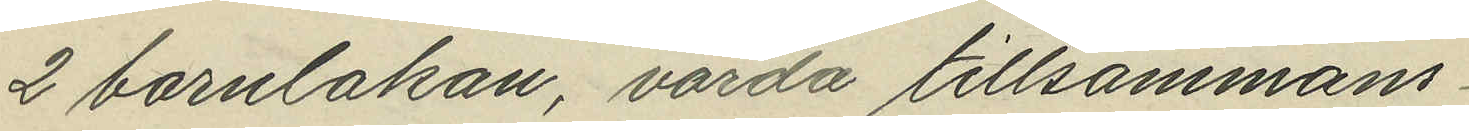2 barnlakan, värda tillsammans
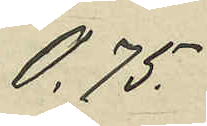0,75
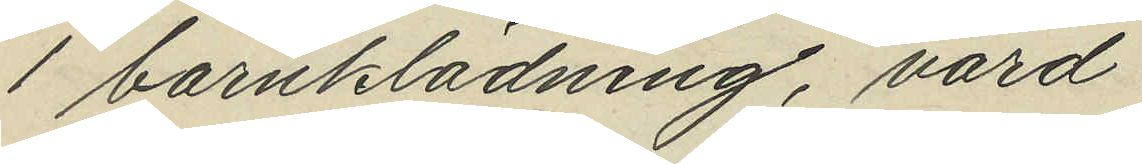1 barnklädning, värd
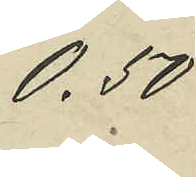0,50
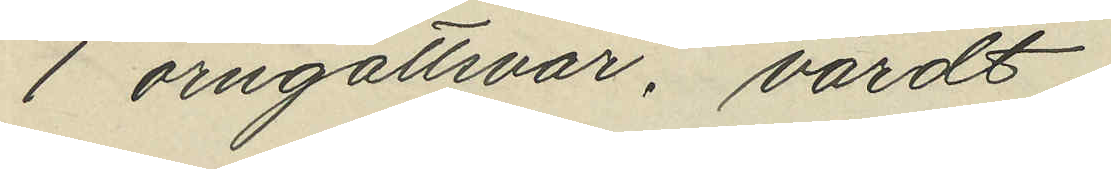1 örngottsvar, värdt
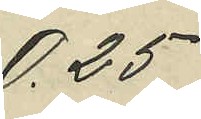0,25
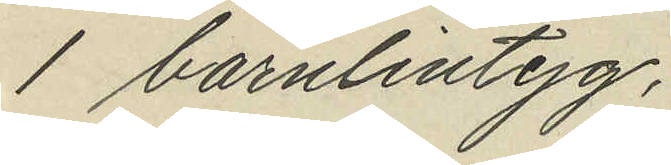1 barnlintyg
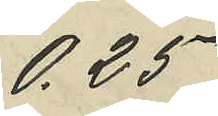0,25
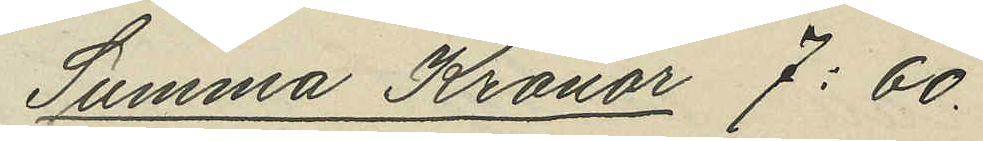Summa Kronor 7: 60.
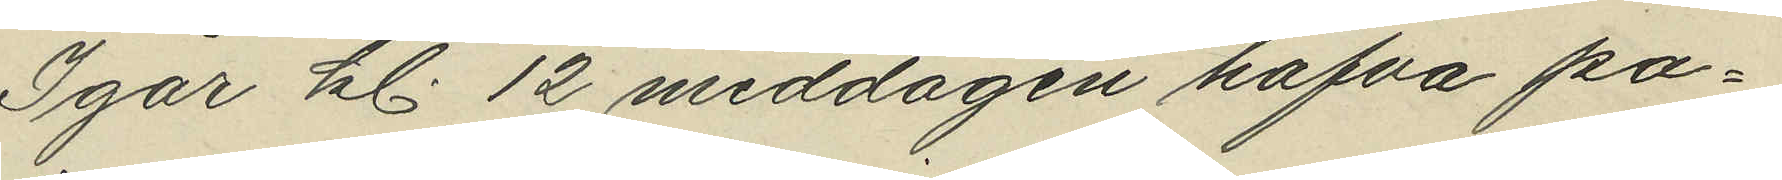Igår kl. 12 middagen hafva på¬
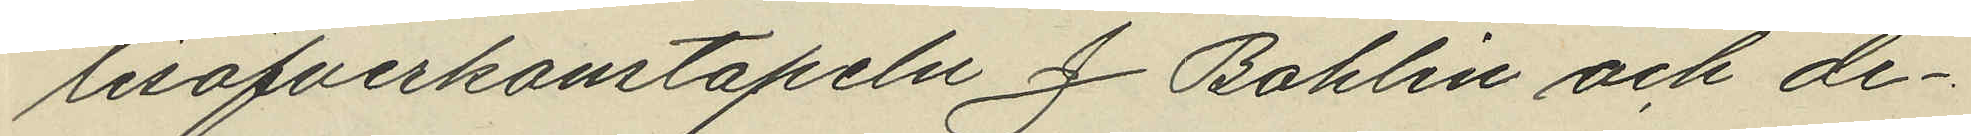lisöfverkonstapeln J Bohlin och de¬
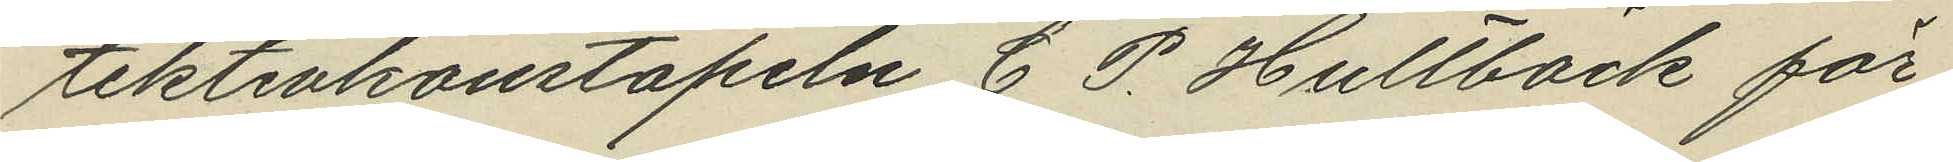tektivkonstapeln C. P. Hultbäck för
